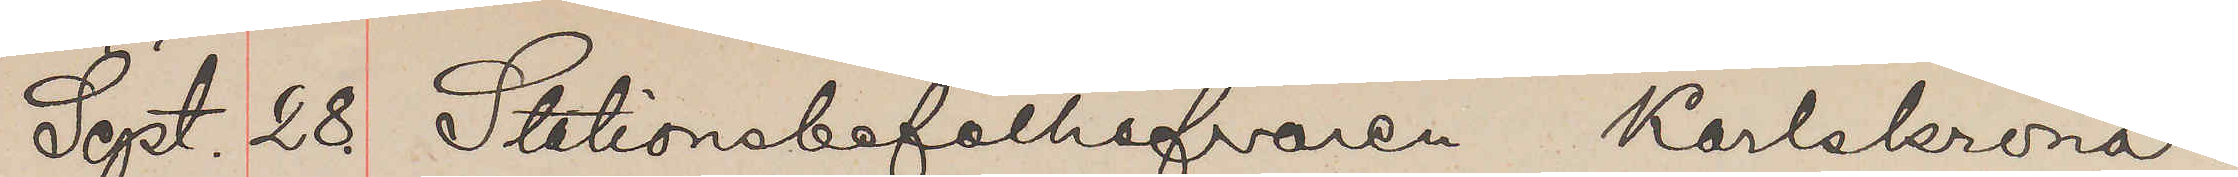Sept. 28. Stationsbefälhafvaren Karlskrona.
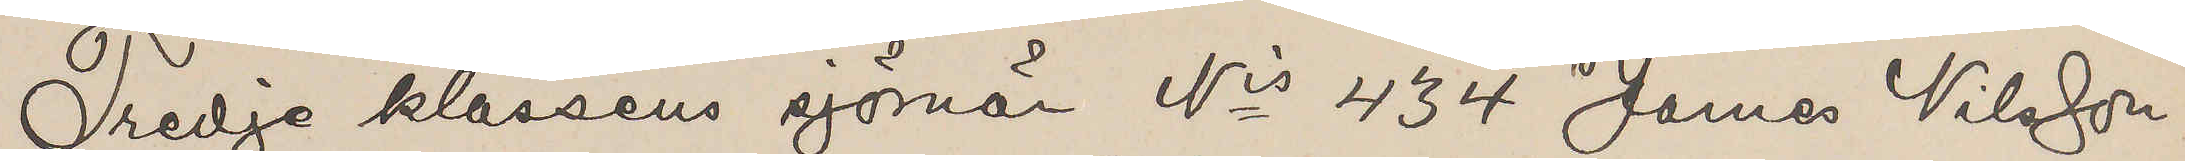Tredje klassens sjömän Nis 434 James Nilsson
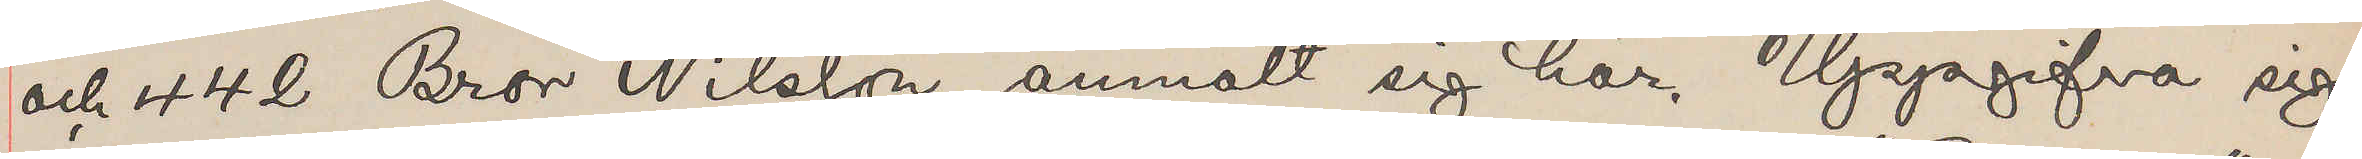och 442 Bror Nilsson anmält sig här. Uppgifva sig
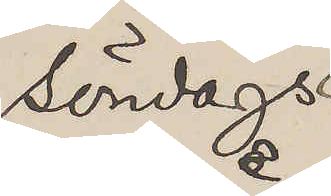söndags
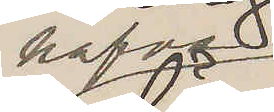hafva
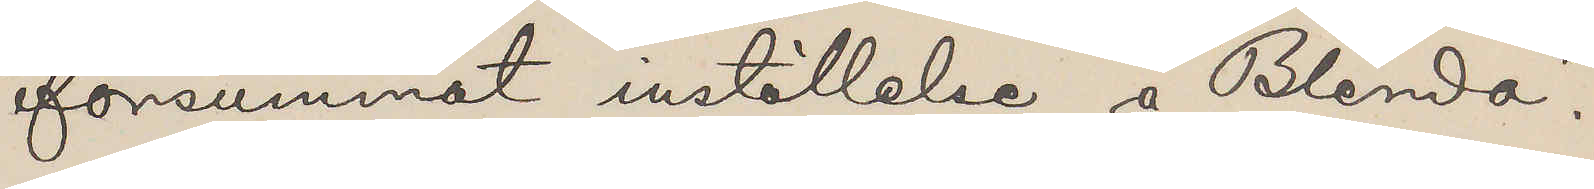försummat inställelse å "Blenda".
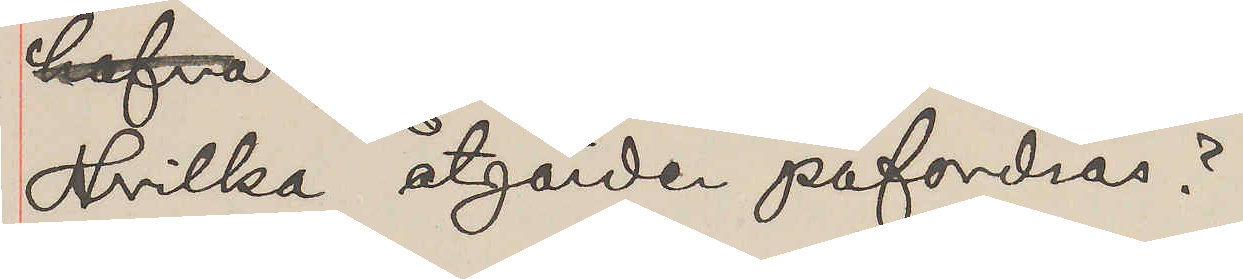Hvilka åtgärder påfordras?
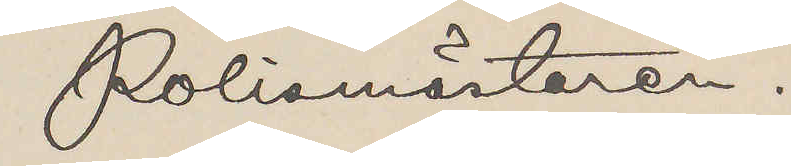Polismästaren.
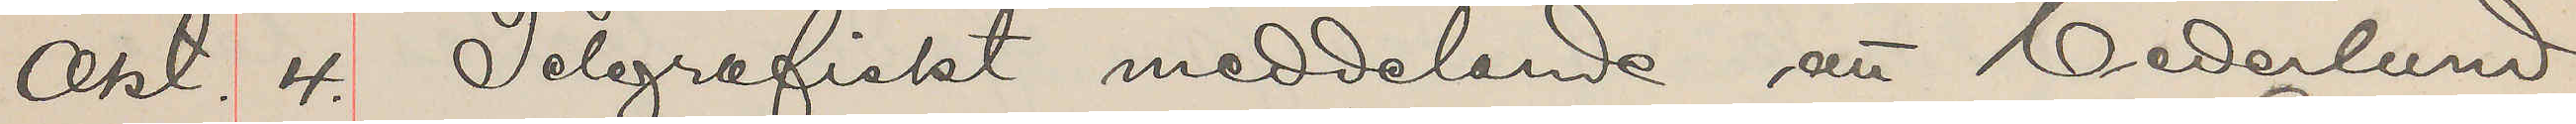Okt. 4. Telegrafiskt meddelande att Cederlund
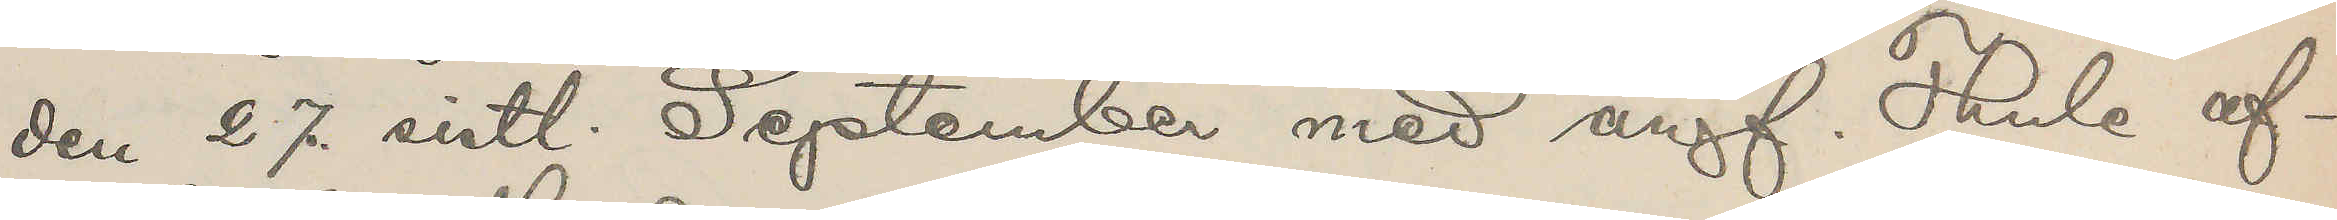den 27. sistl. September med ångf. Thule af¬
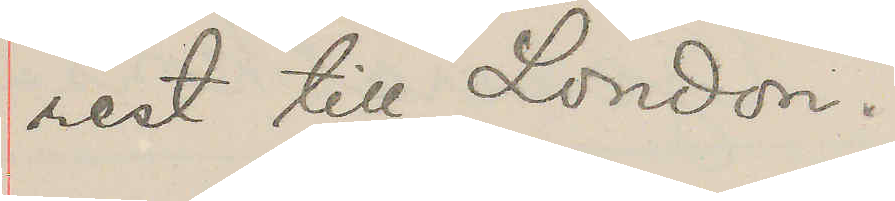rest till London.
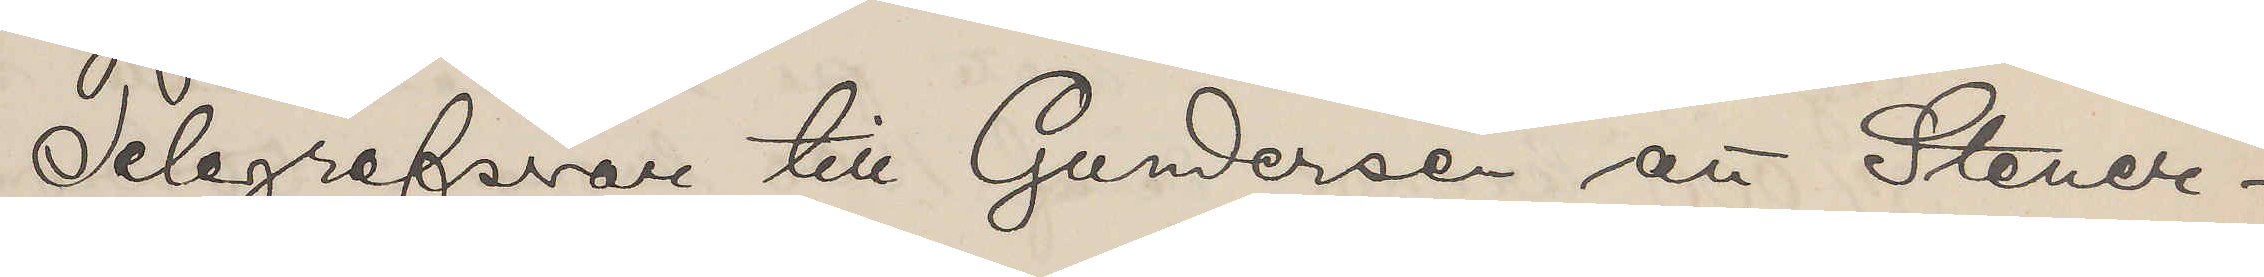Telegrafsvar till Gundersen att Stener¬
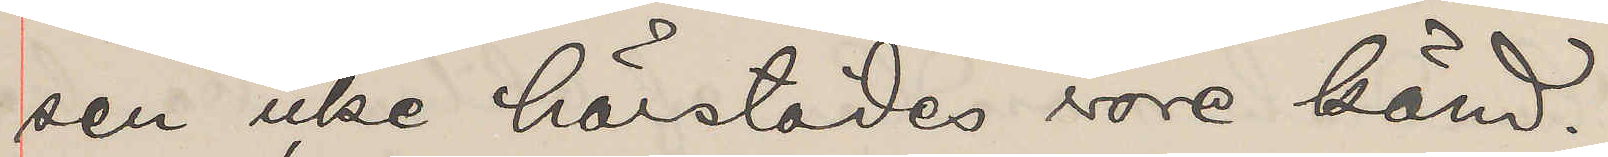sen icke härstädes vore känd.
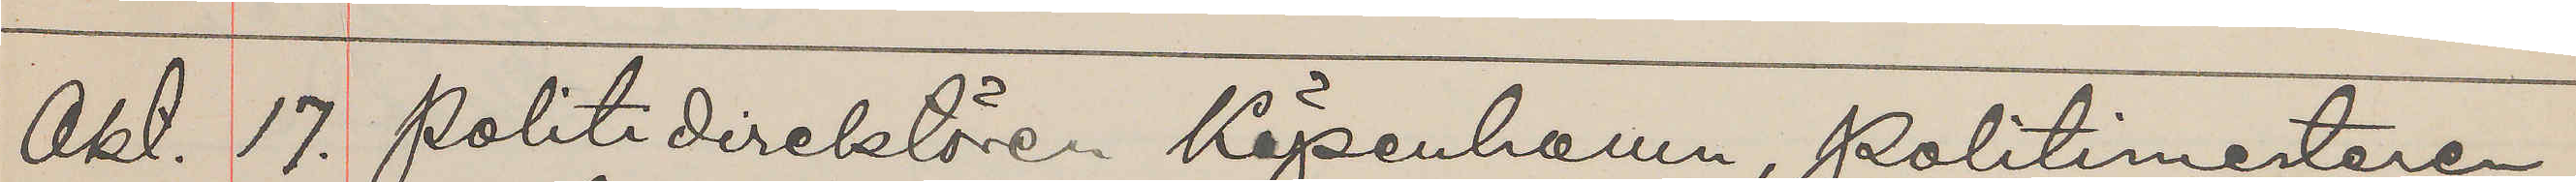Okt. 17. Politidirektören Köpenhamn, Politimesteren
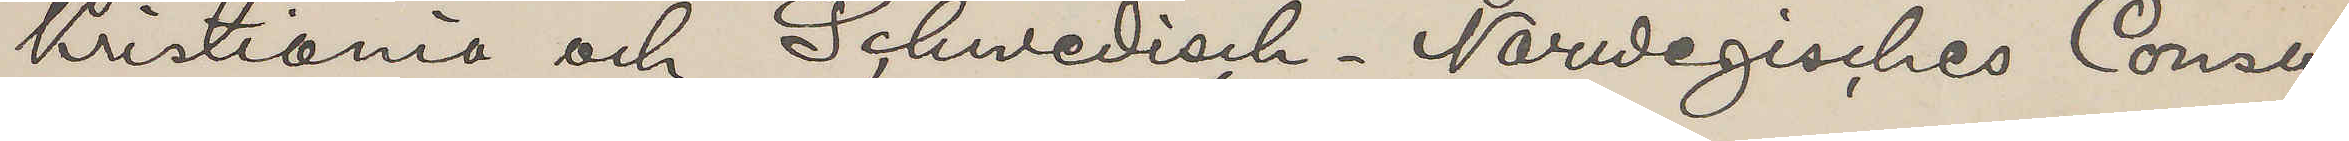Kristiania och Scwedisch-Norwegisches Consu¬
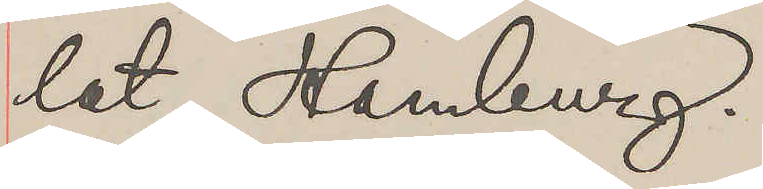lat Hamburg.
